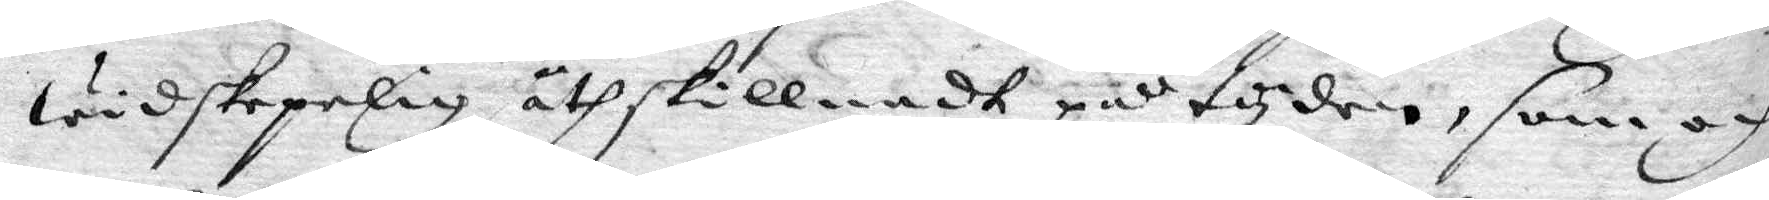widskepelig åthskillnadh på tyden, som och
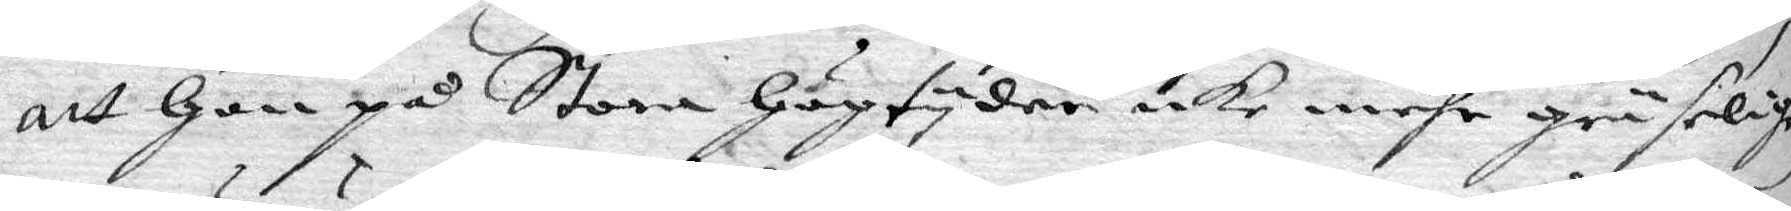att hon på Stora högtyder icke mehr gräselig
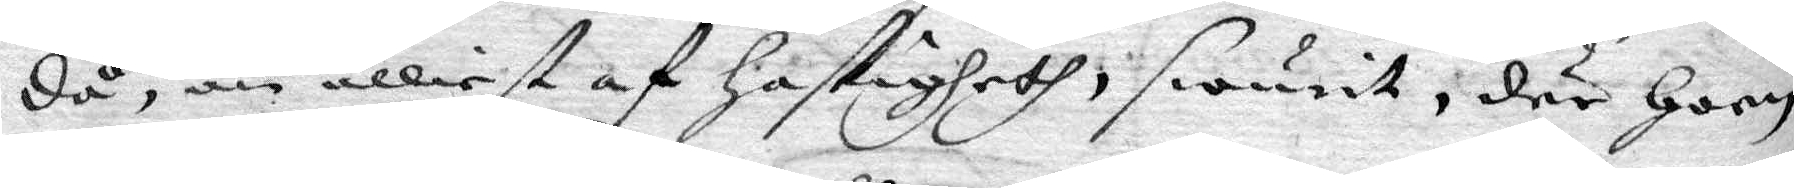då, än älliest af hastigheth swurit, där hoon
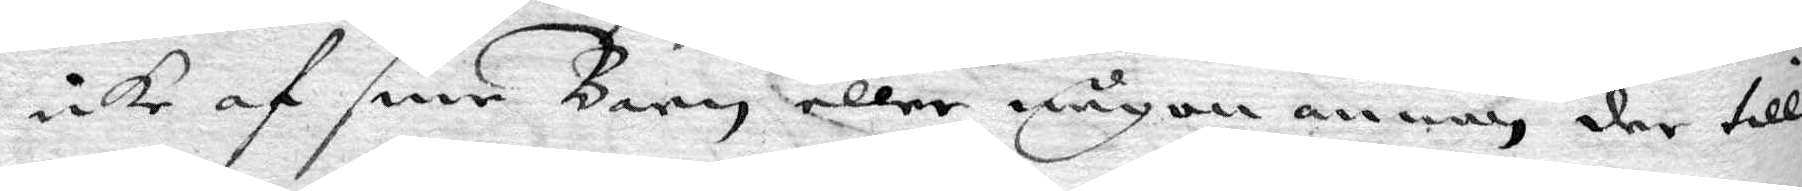icke af sine Barn eller någon annan der till
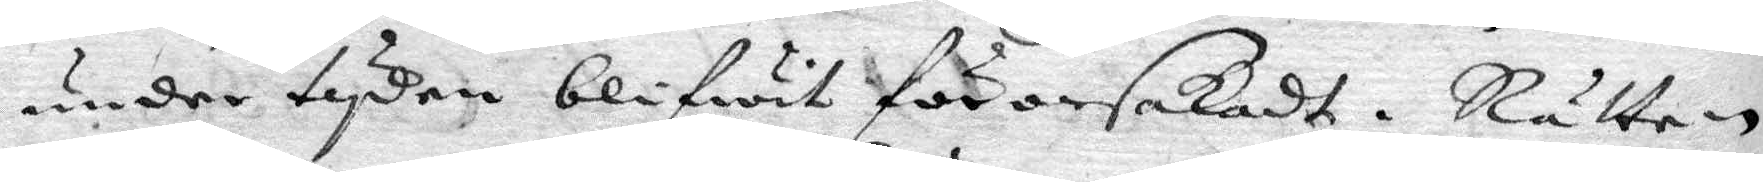under tyden blifwit förorsakadt. Rätten
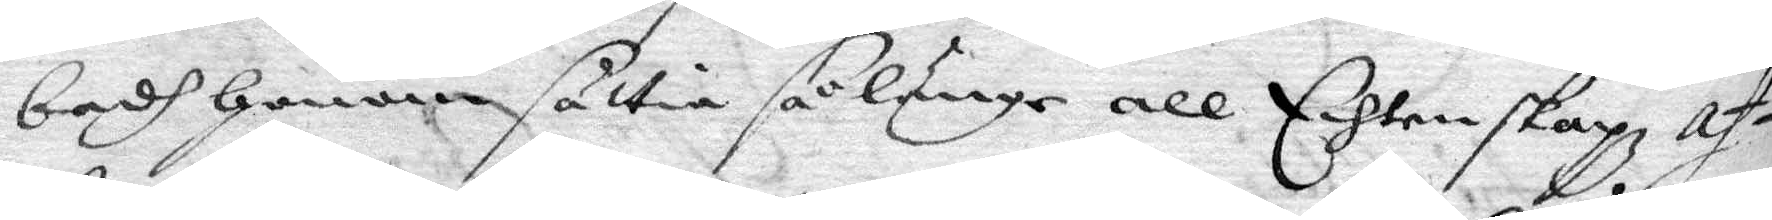badh honom sättia så länge all Echtenskap af¬
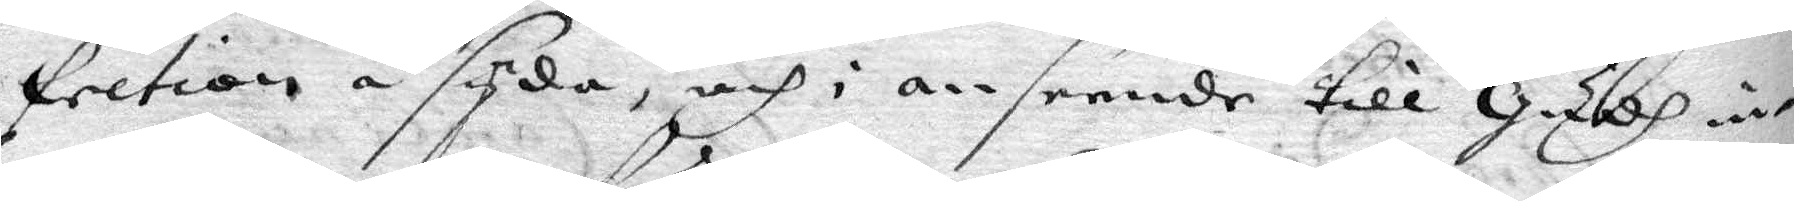fretion å sydan och i anseende till Gudh in¬
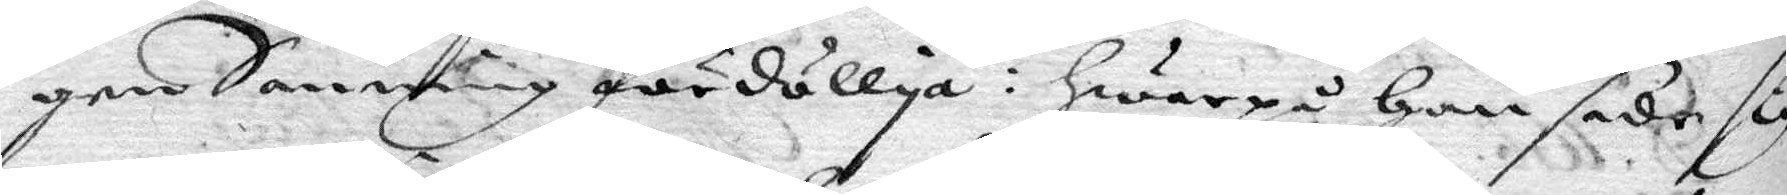gen Sanning fördöllja: hwarpå han sade sig
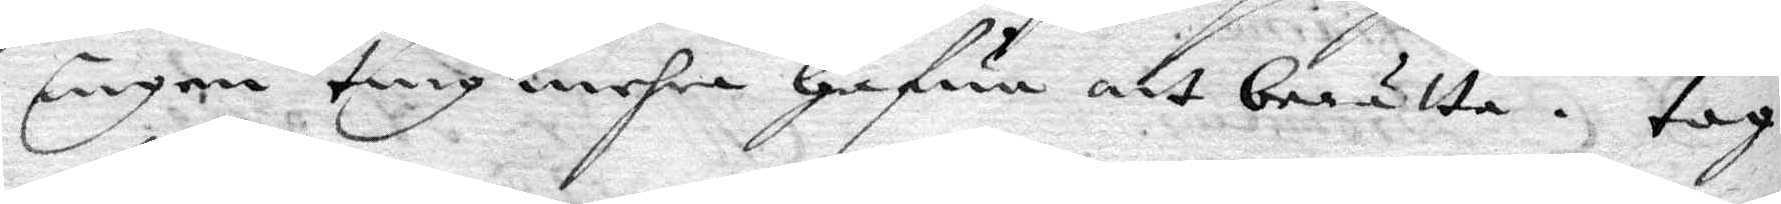ingen ting mehra hafwa att berätta. tog
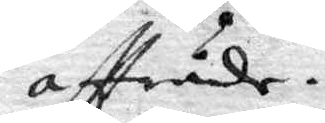aftträde.
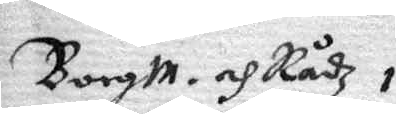Borgm. och Rådz i
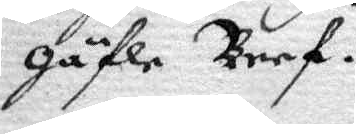gäfle Bref.
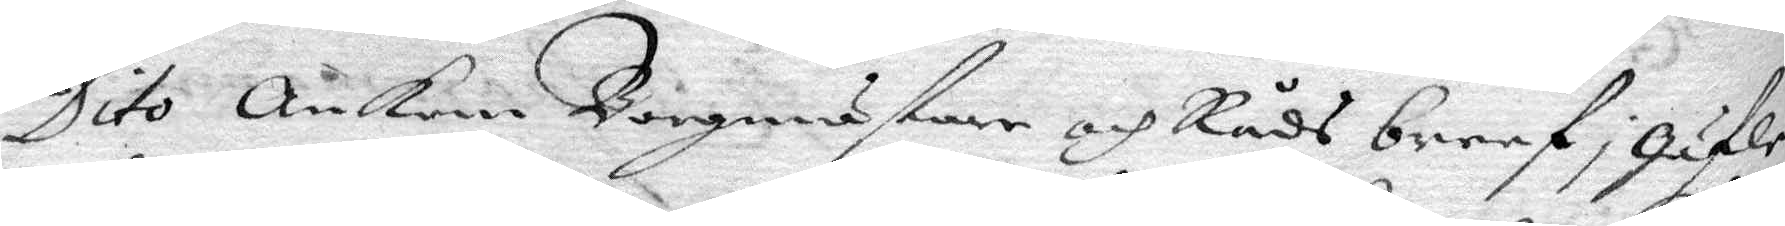Dito ankom Borgmästare och Råds breef i gäfle
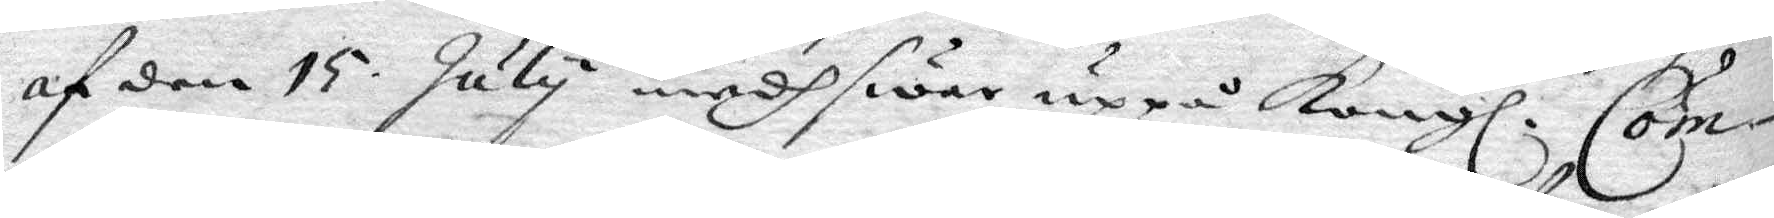af den 15 july medh swar uppå Kongl. Com¬
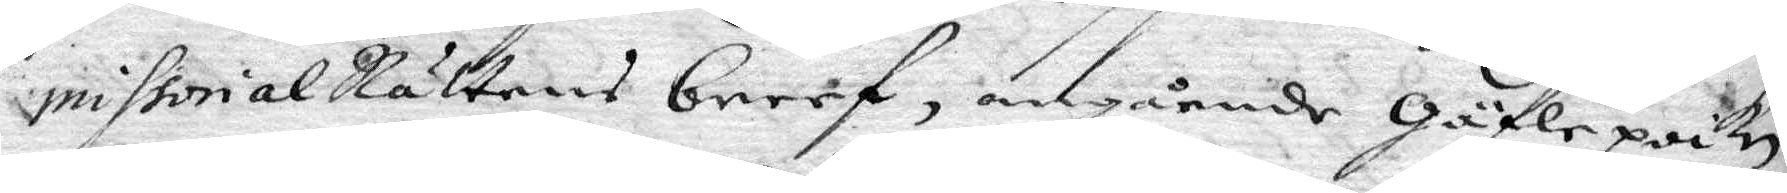missiorialRättens breef, angående gäflepoiken
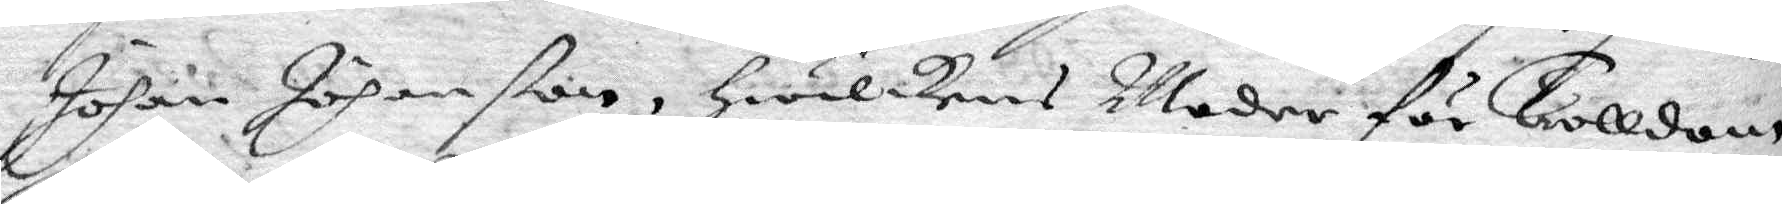Johan Johanßon, hwilkens Moder för Trolldom
